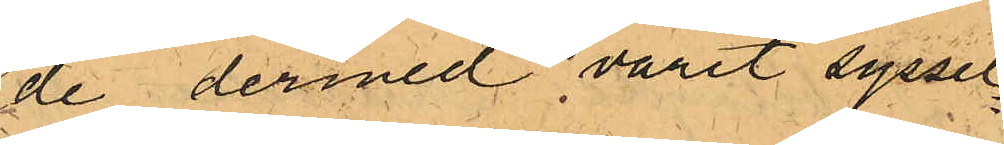de dermed varit syssel¬
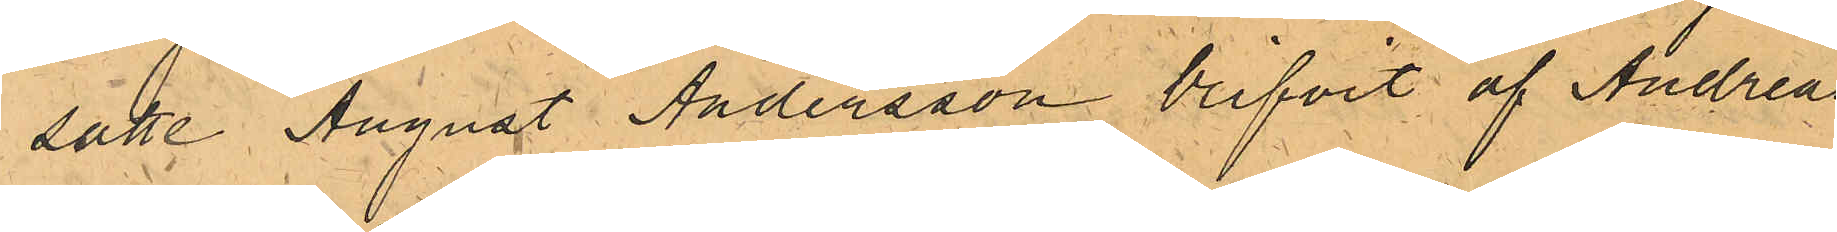satte August Andersson blifvit af Andreas¬
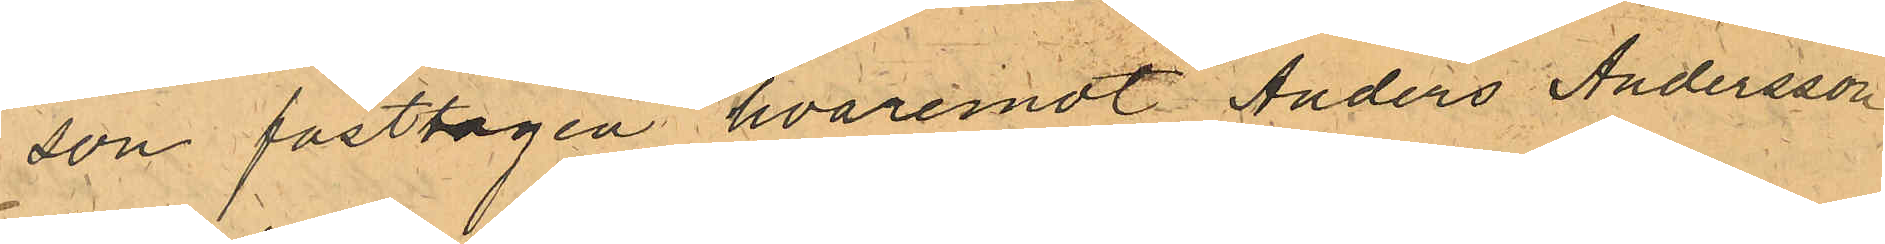son fasttagen hvaremot Anders Andersson
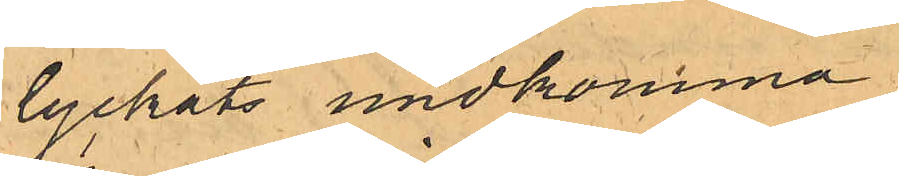lyckats undkomma.
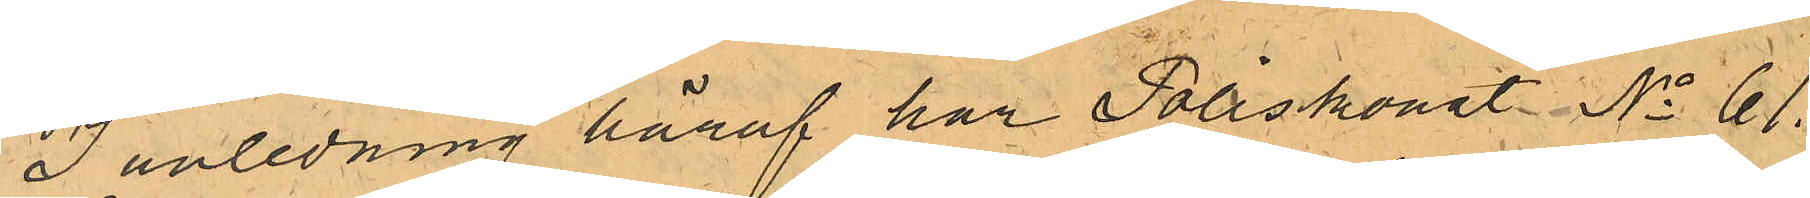I anledning häraf har Poliskonst. No 61.
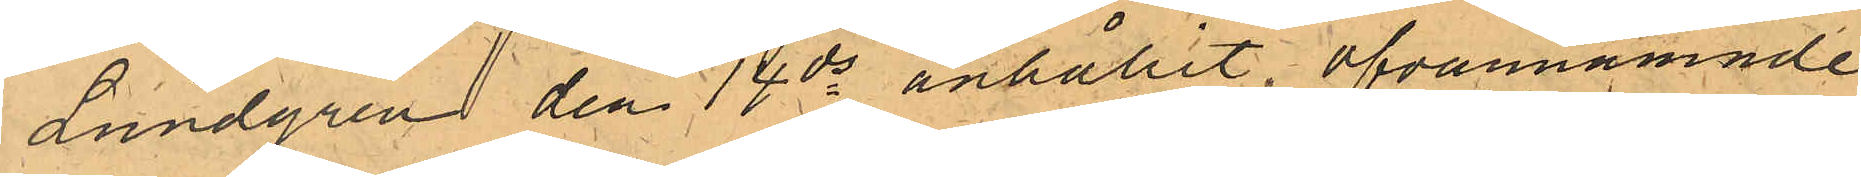Lundgren den 14 ds anhållit ofvannämnde
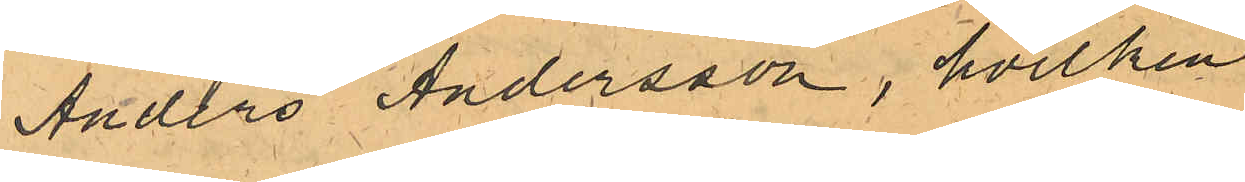Anders Andersson, hvilken
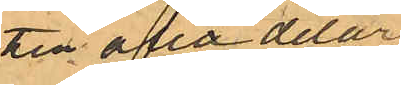till alla delar
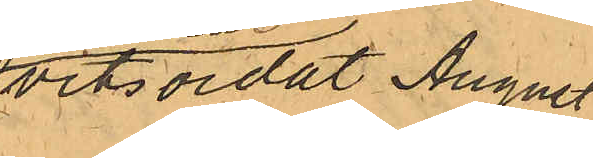vitsordat August
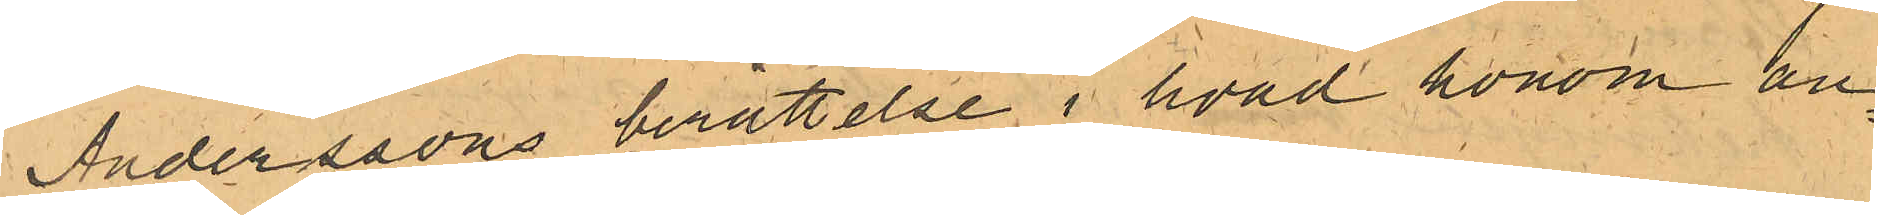Anderssons berättelse i hvad honom an¬
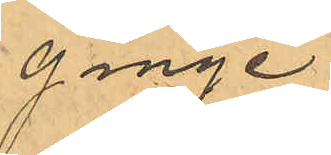ginge.
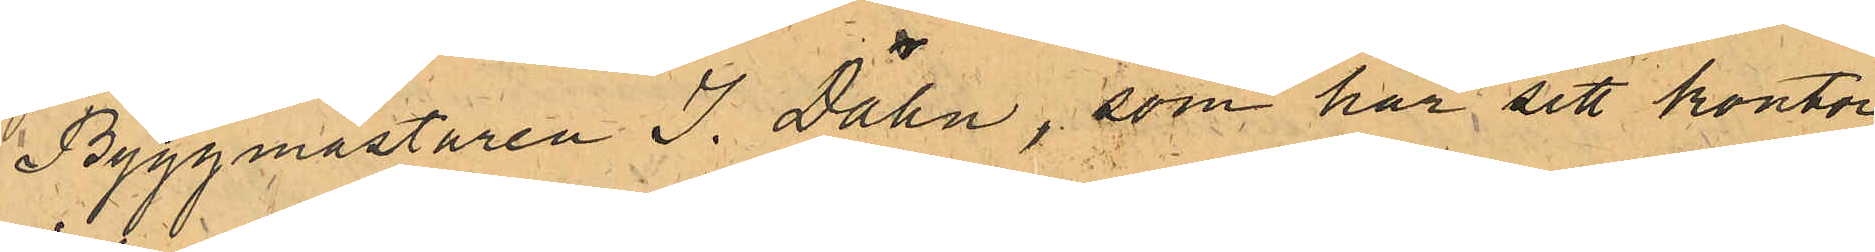Byggmästaren J. Dähn, som har sitt kontor
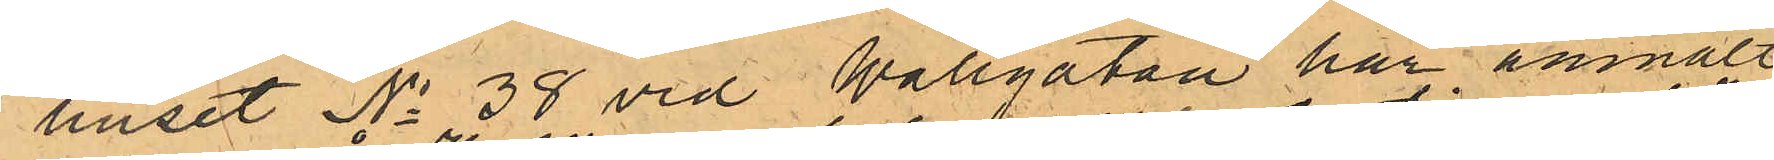i huset No 38 vid Wallgatan har anmält
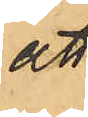att
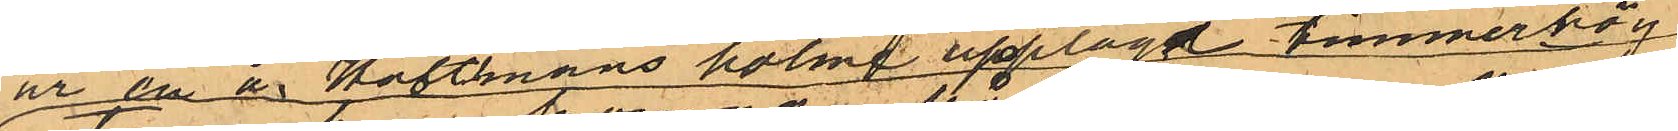ur en å Hultmans holme upplagd timmerhög
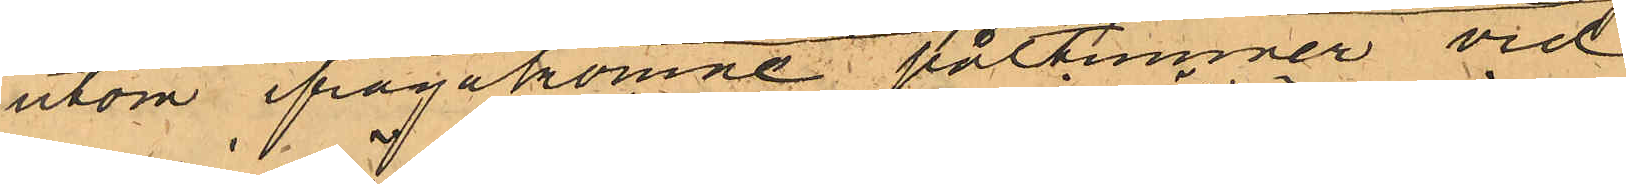utom ifrågakomne påltimmer vid
